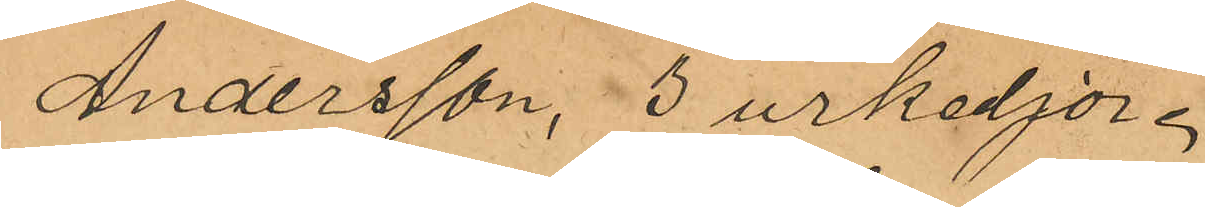Andersson, 3 urkedjor,"
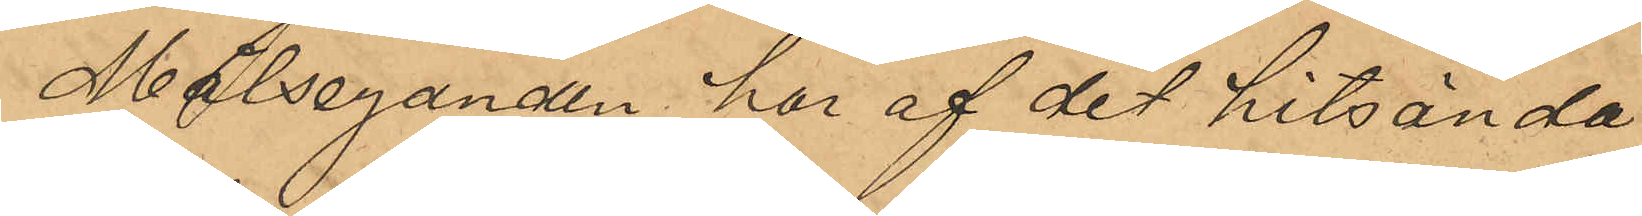Målseganden har af det hitsända
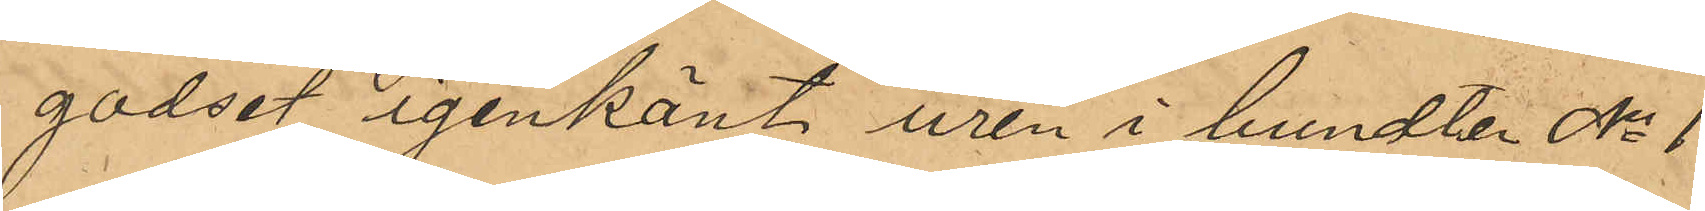godset igenkänt uren i bundten No 1
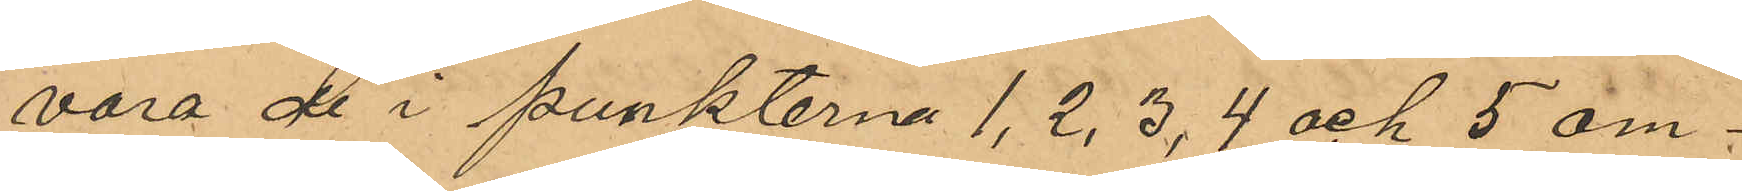vara de i punkterna 1, 2, 3, 4 och 5 om¬
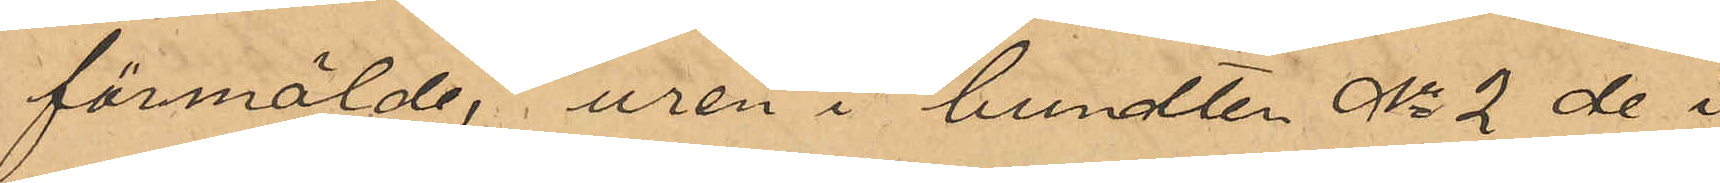förmälde, uren i bundten No 2 de i
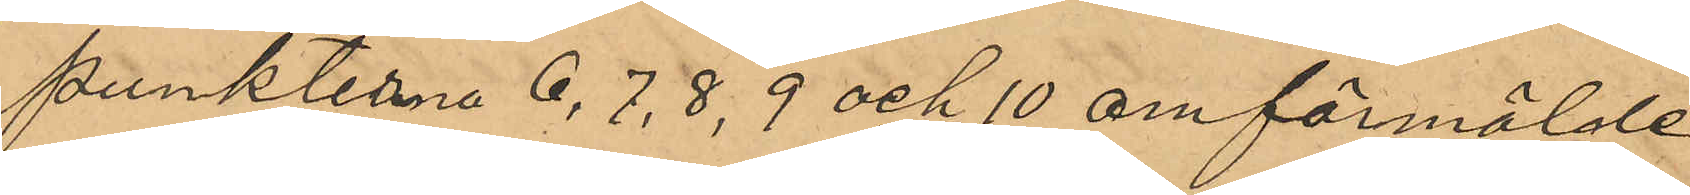punkterna 6, 7, 8, 9 och 10 omförmälde
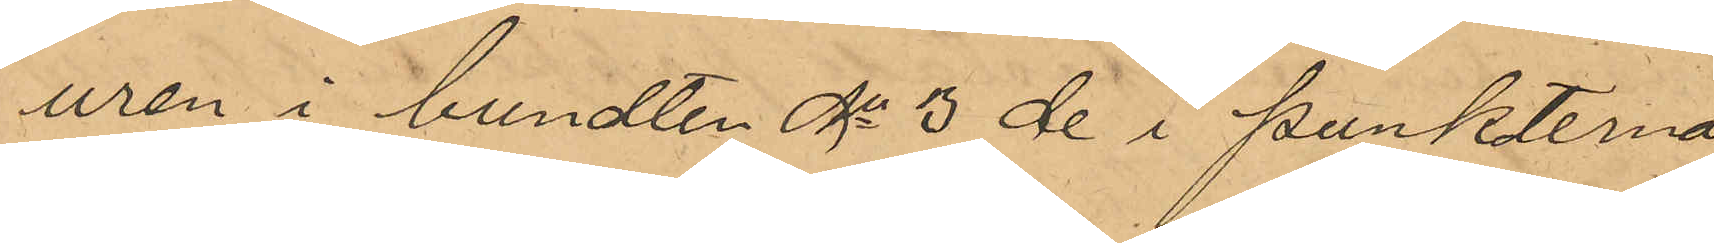uren i bundten No 3 de i punkterna
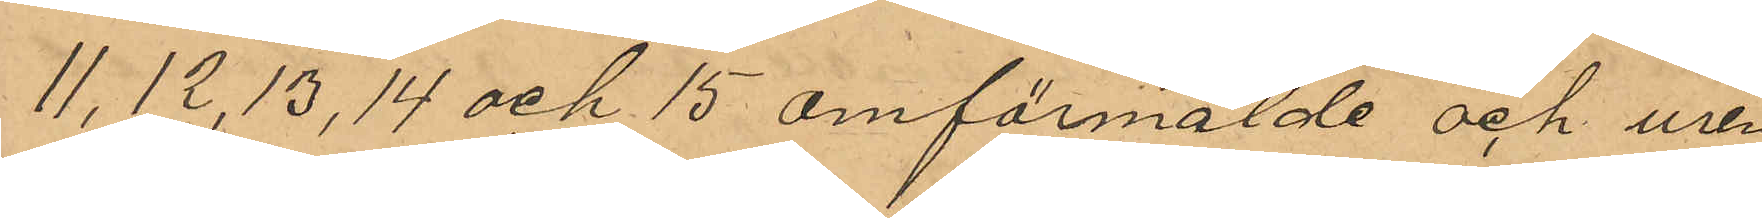11, 12, 13, 14 och 15 omförmälde och uren
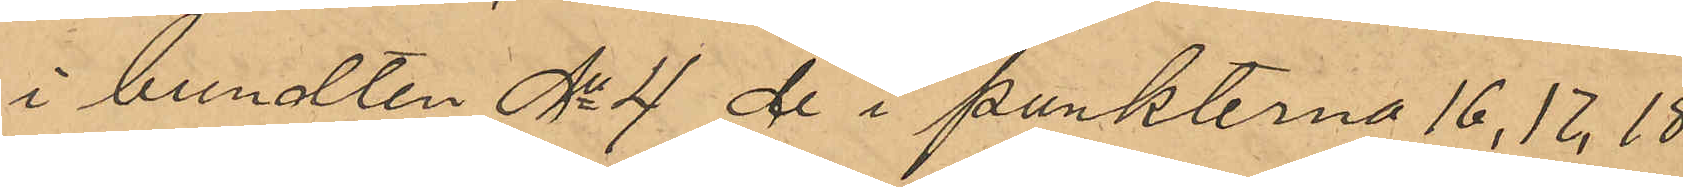i bundten No 4 de i punkterna 16, 17, 18,
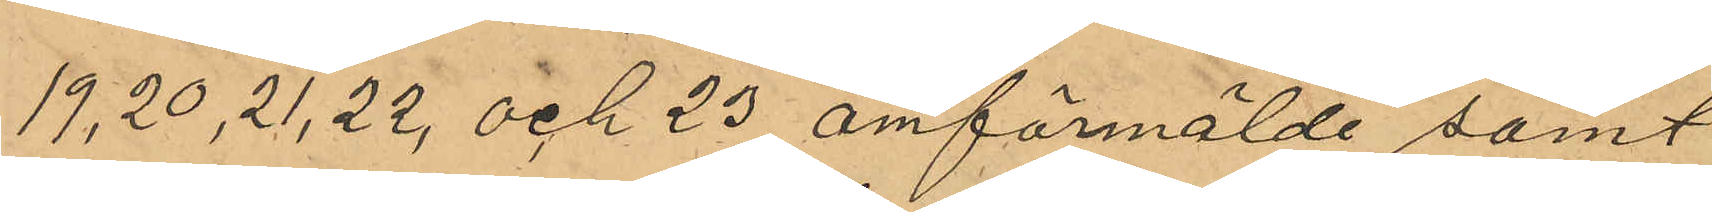19, 20, 21, 22 och 23 omförmälde samt
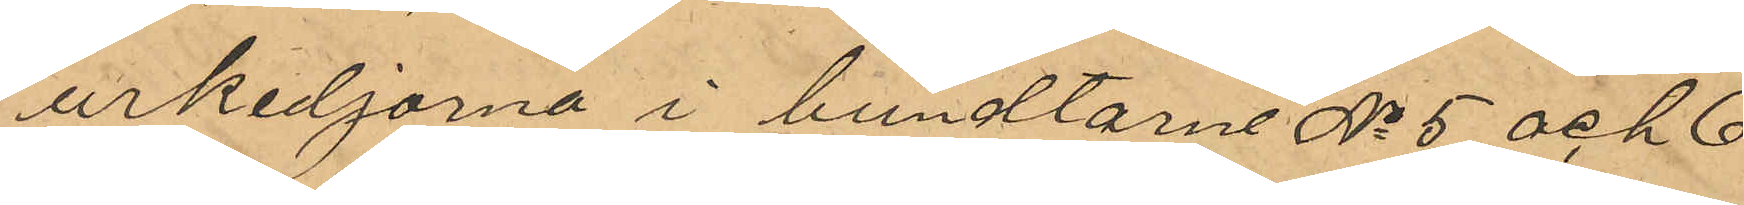urkedjorna i bundtarne No 5 och 6
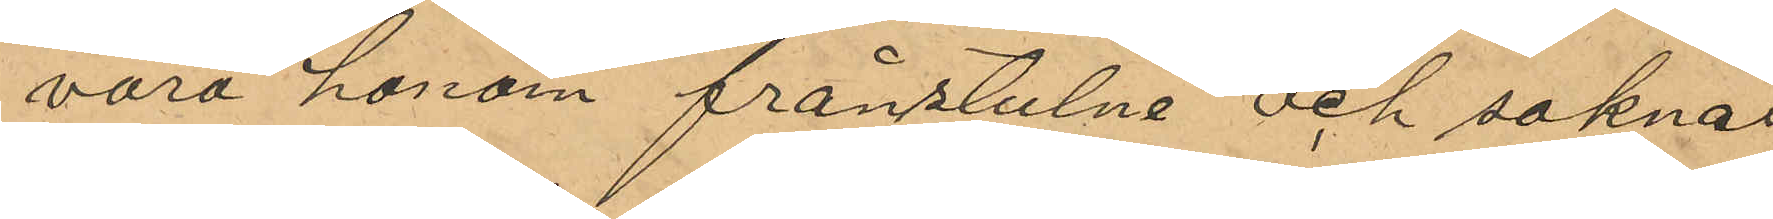vara honom frånstulne och saknas
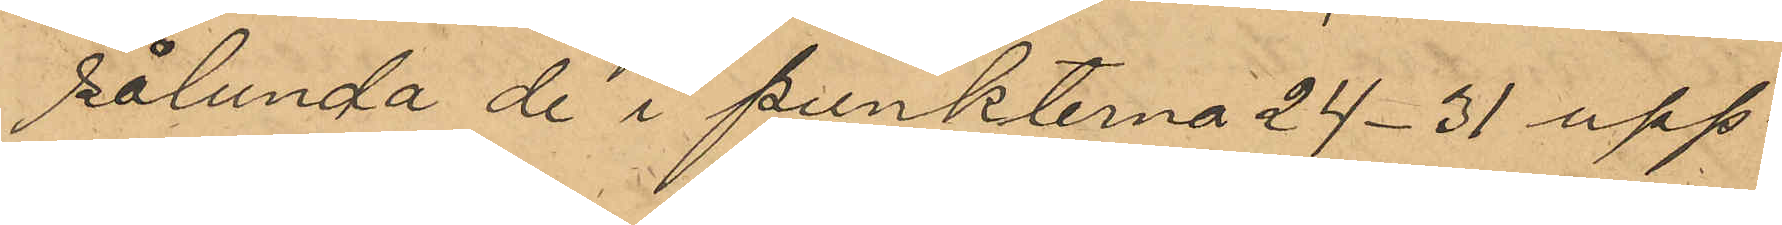sålunda de i punkterna 24-31 upp¬
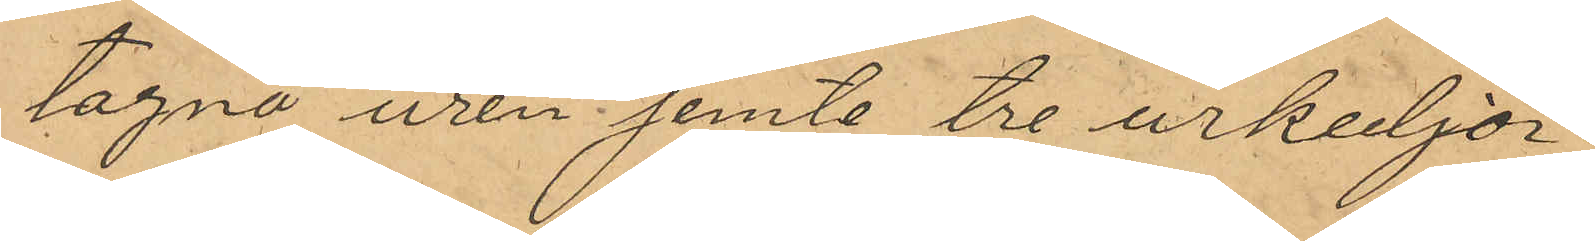tagna uren jemte tre urkedjor.
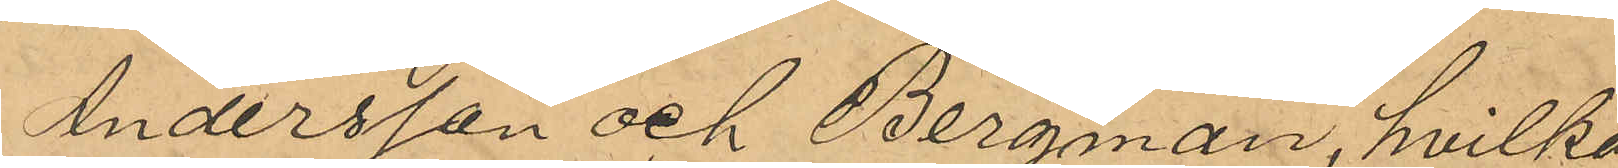Andersson och Bergman, hvilka
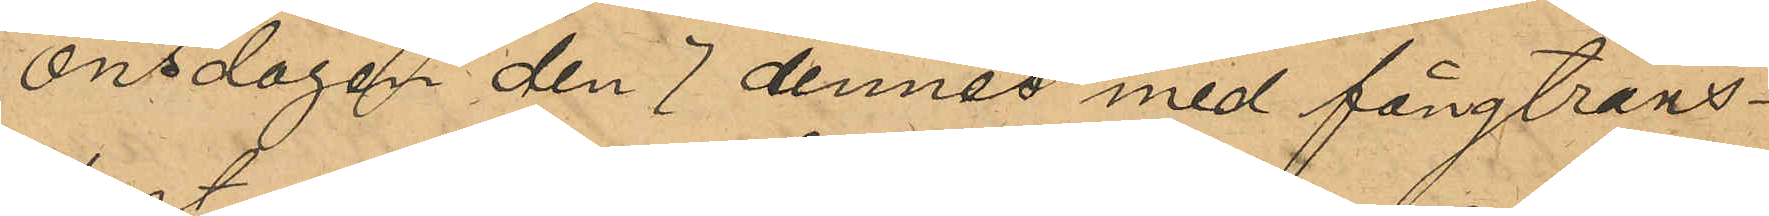onsdagen den 7 dennes med fångtrans¬
